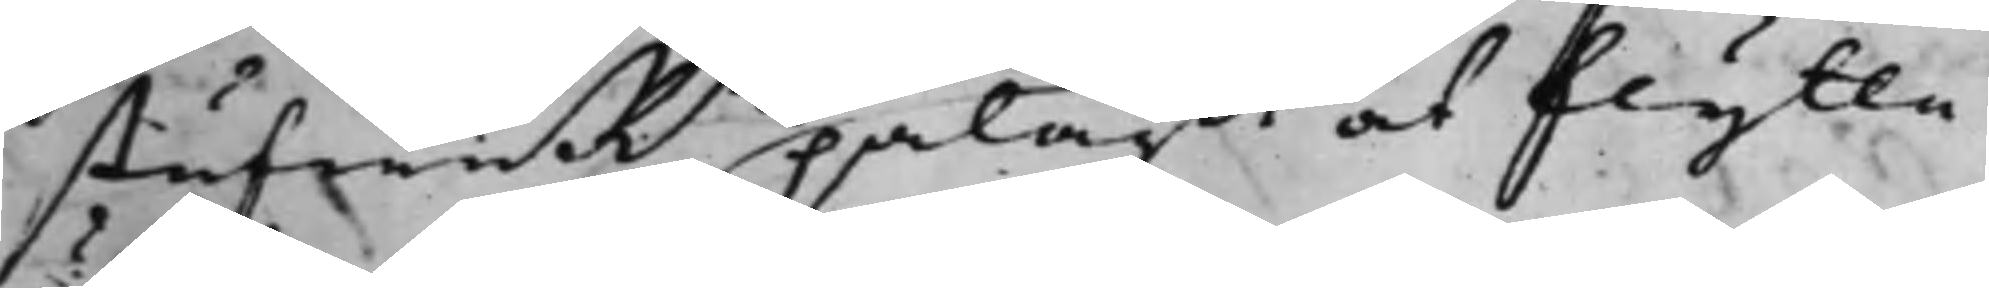stufwuRn pålagdt at flytta
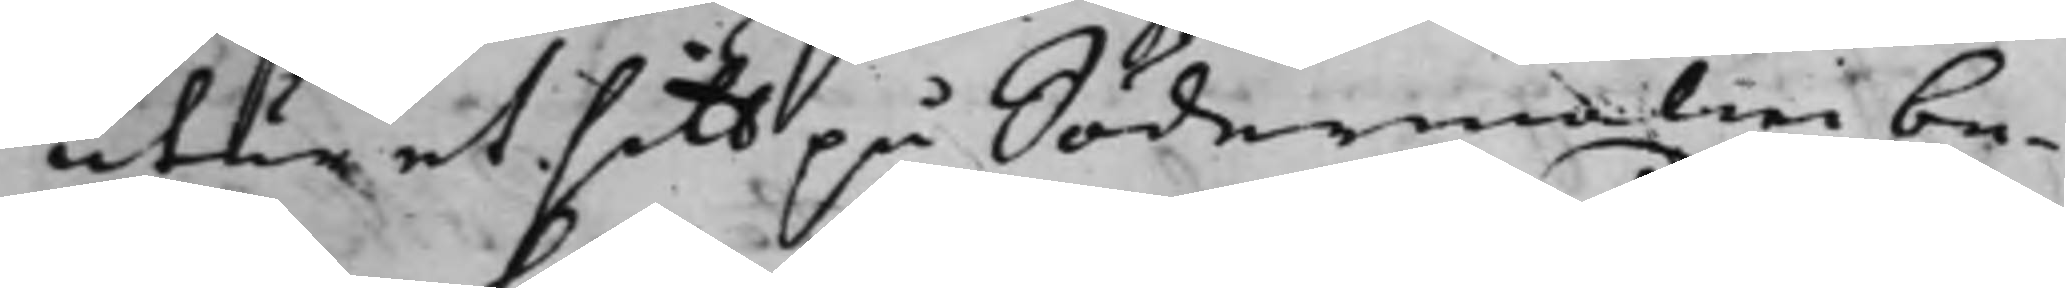utur et sitt på Södermalm be¬
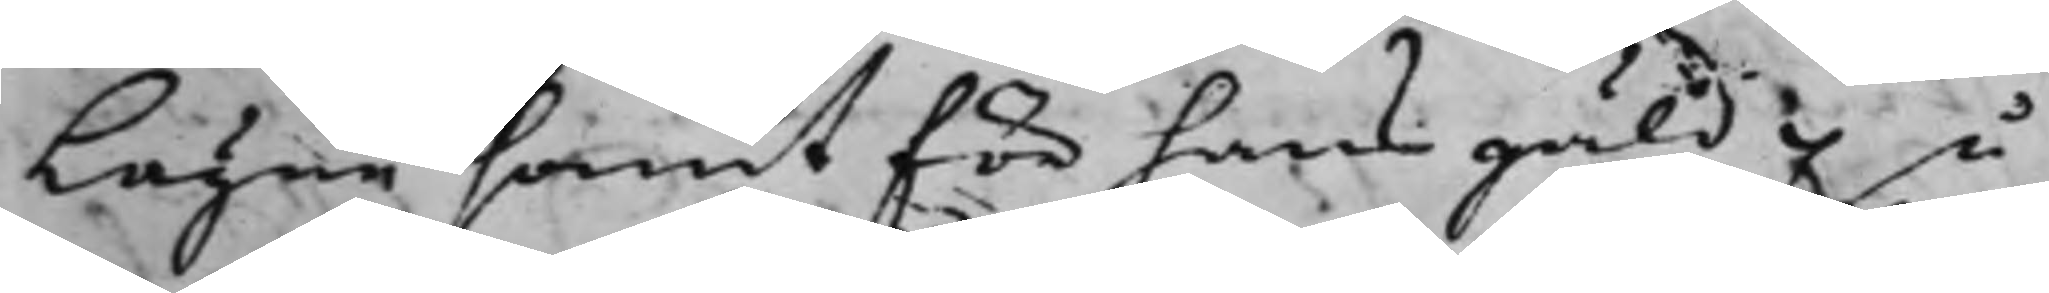lägne samt för hans gäld på
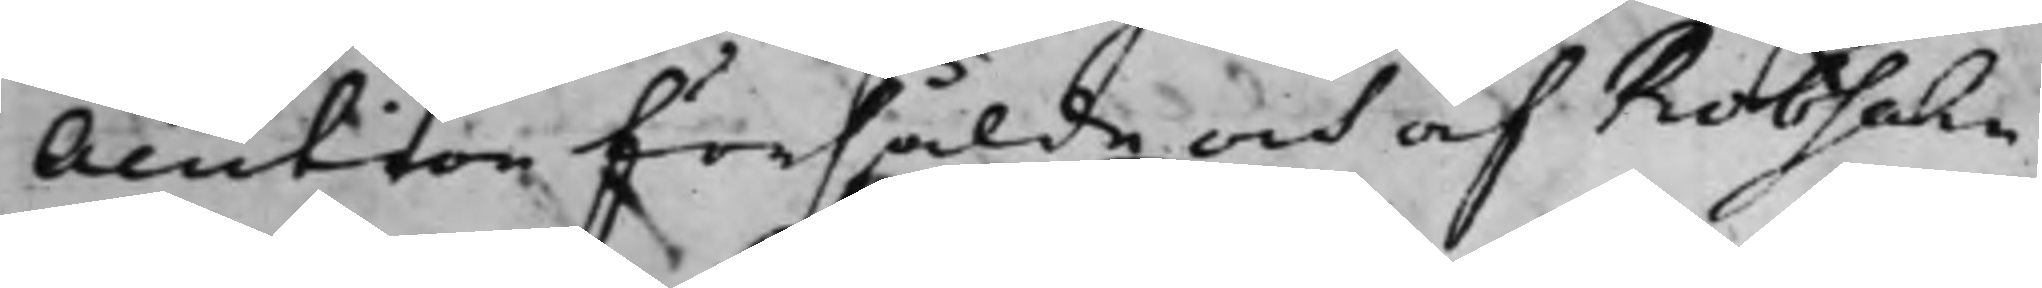Auction försålde och af Robsahn
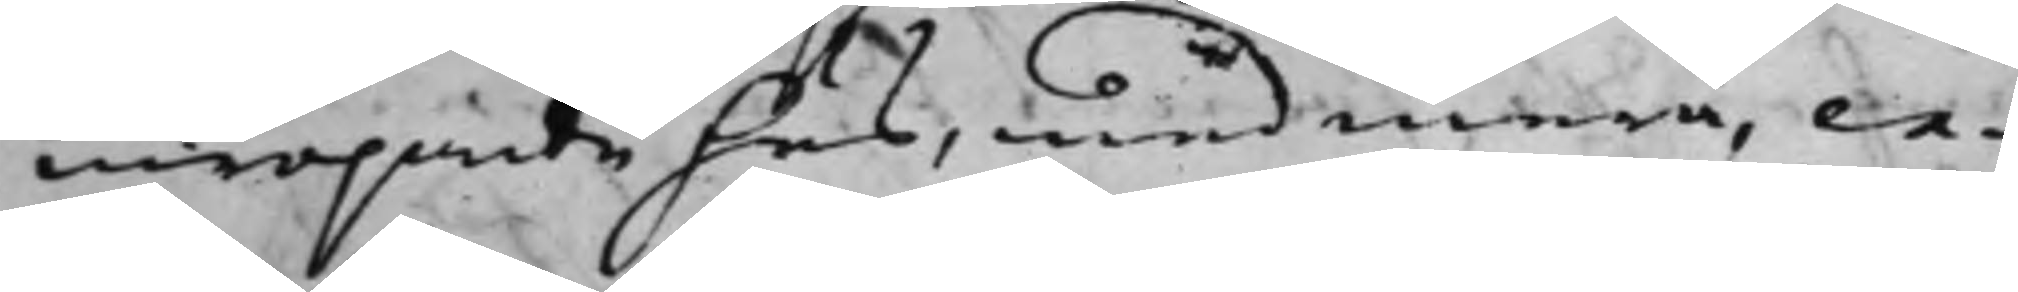inropande hus, med mera, ex¬
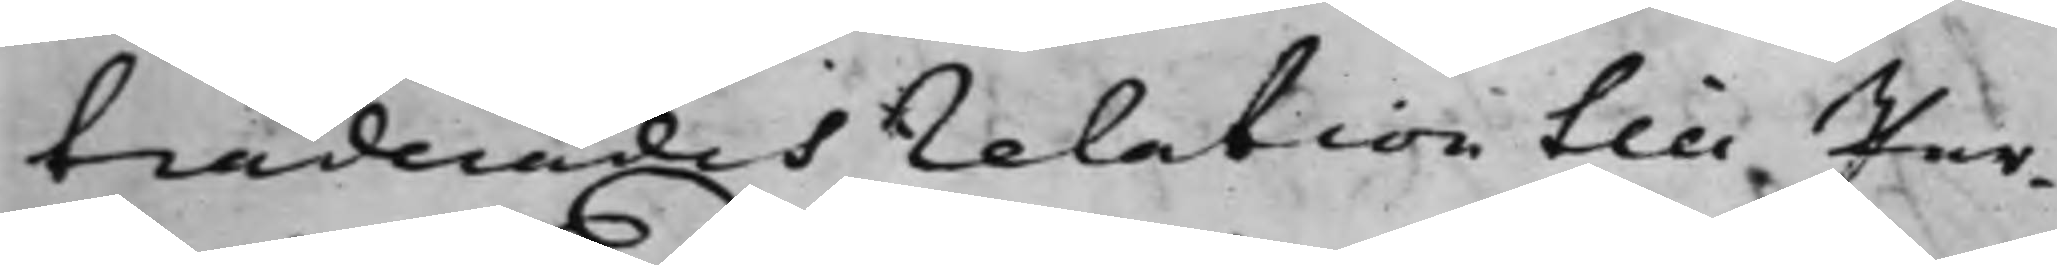traderades relation till Par¬
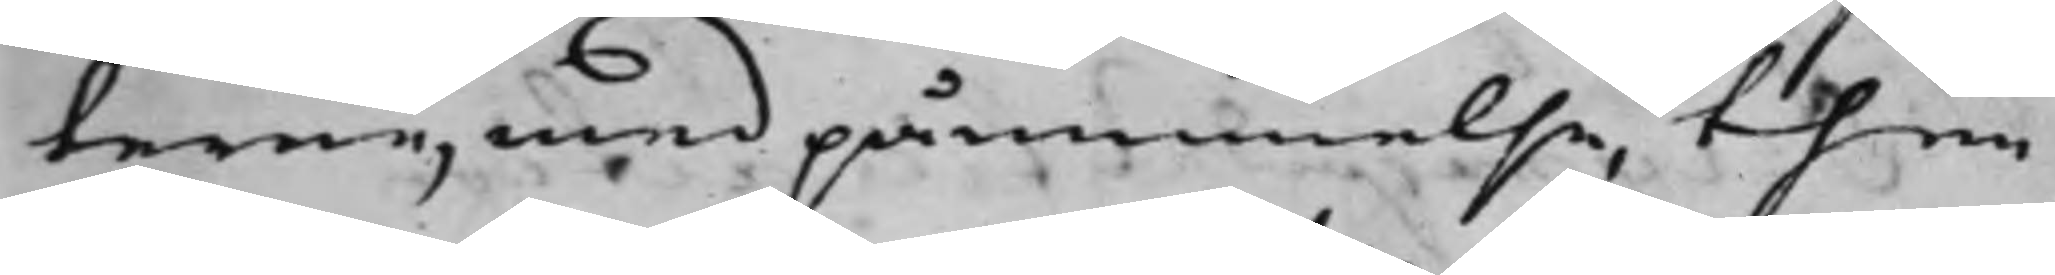terne, med påminnelse, then
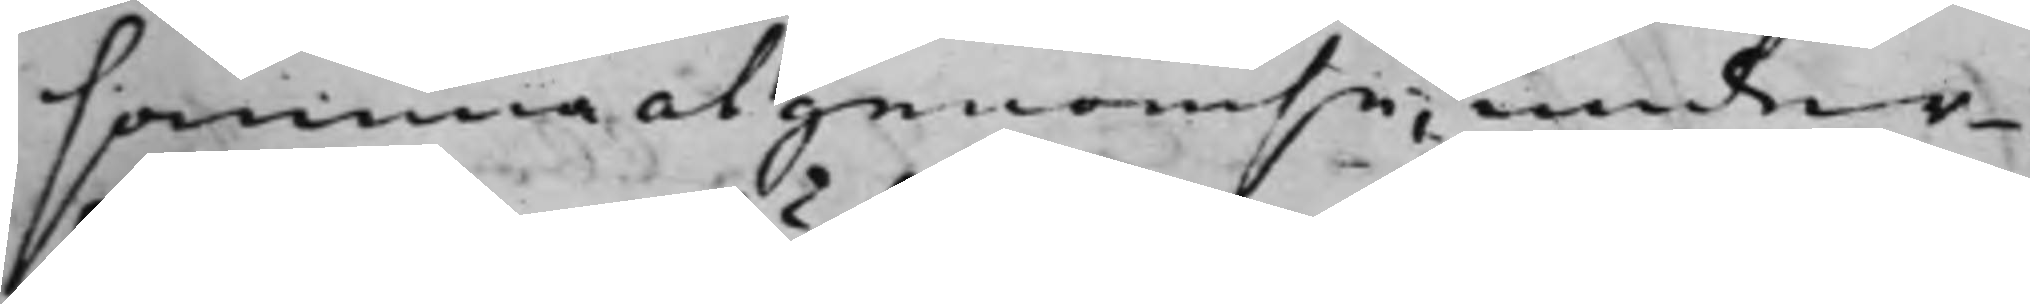samma at genomse, under¬
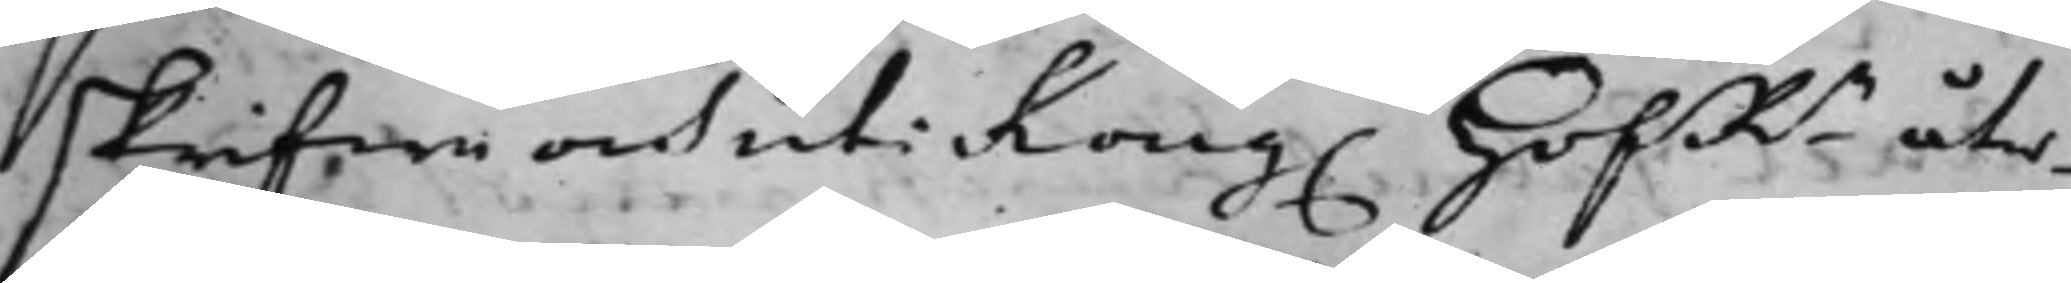skrifwa och uti Kong. HofRn åter¬
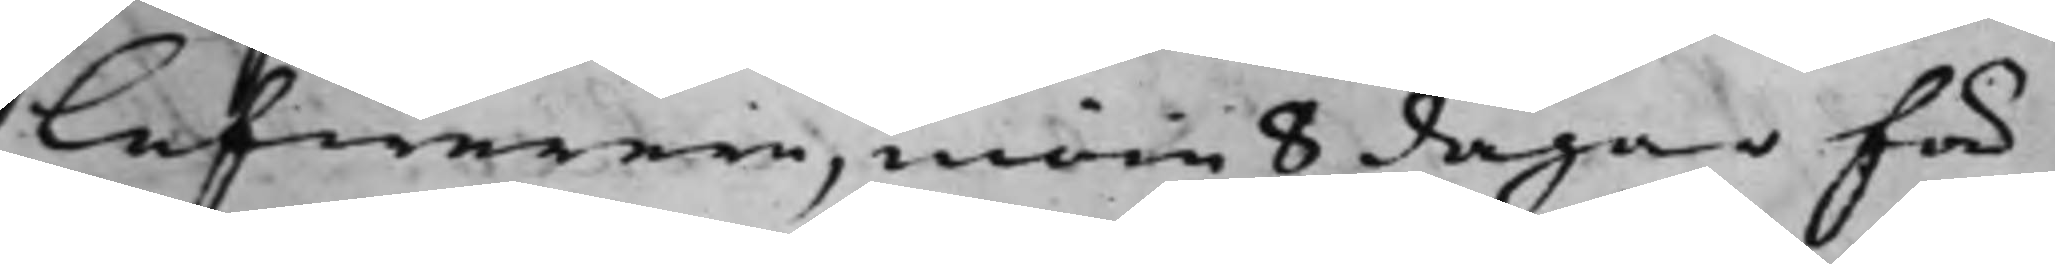lefwerera, inom 8 dagar för
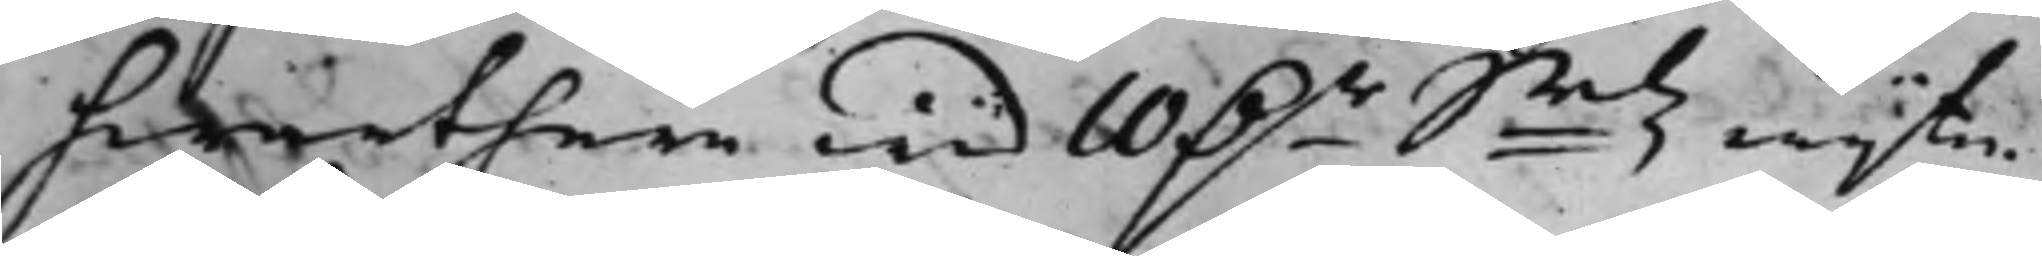hwarthera wid 10 D.r Smtz wijte.
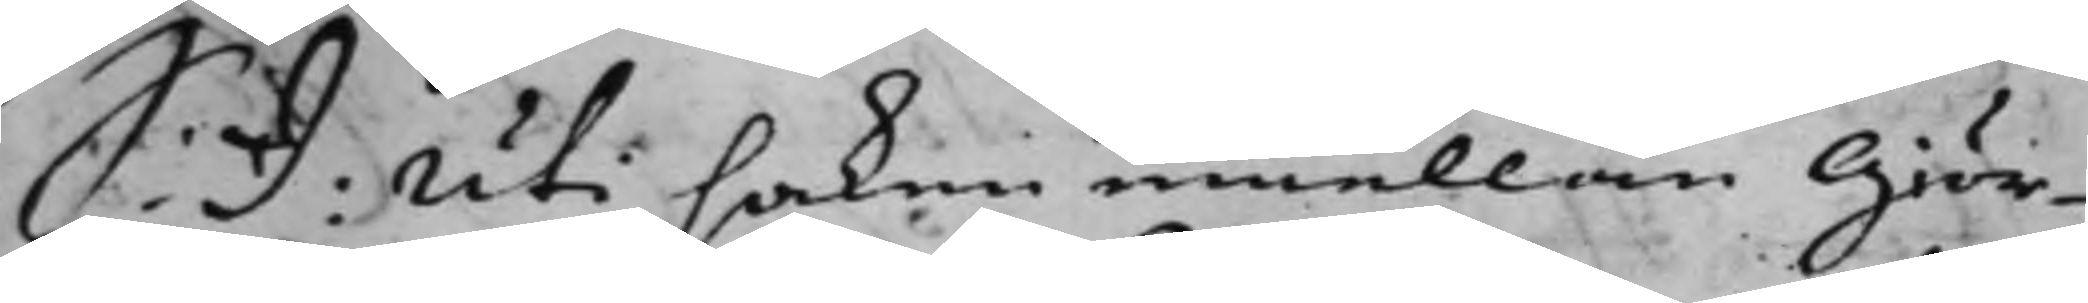S: D: Uti saken emellan Giör¬
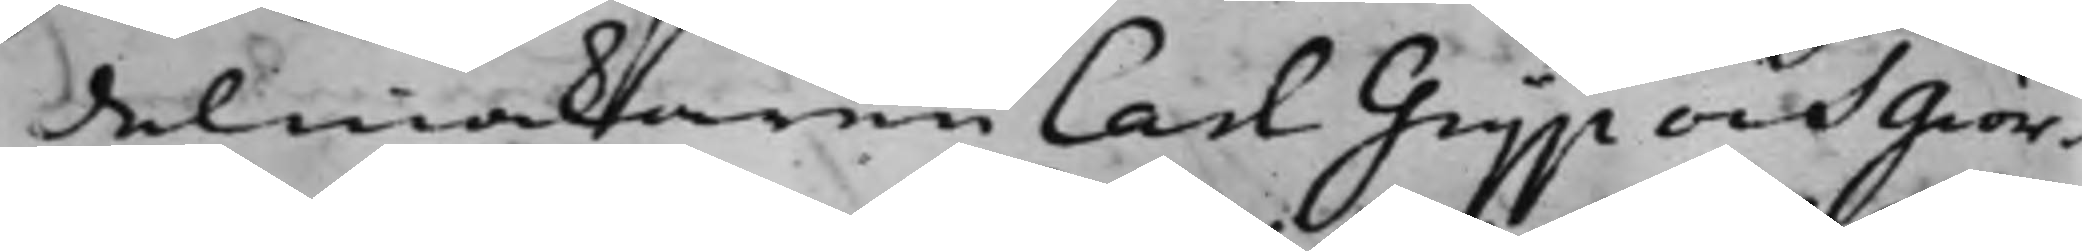delmakaren Carl Grijp och Giör¬
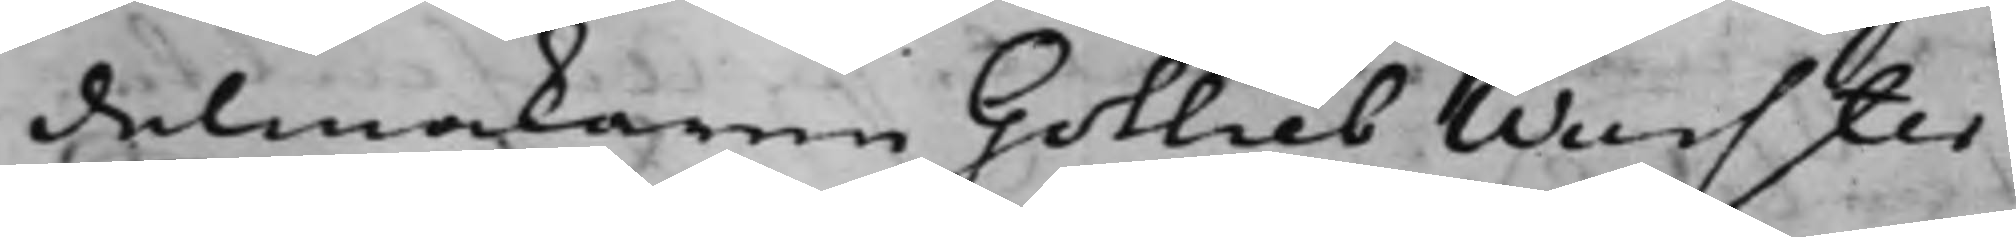delmakaren Gotlieb Wurster
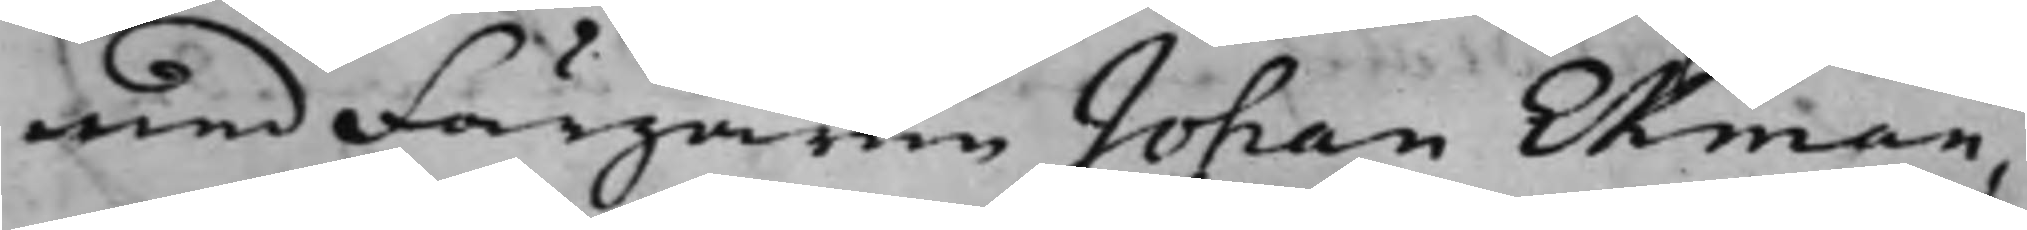med Färgaren Johan Ekman,
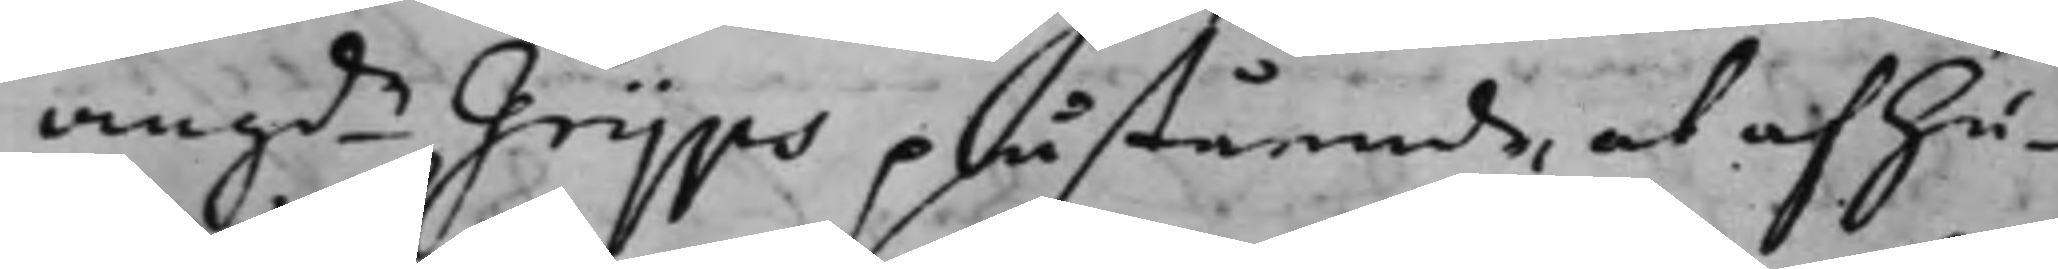angde Grijps påstående, at af hu¬
